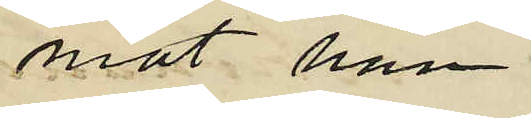mot han
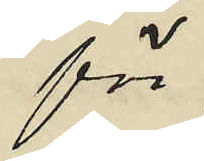för
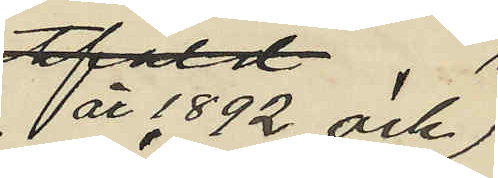år 1892 och
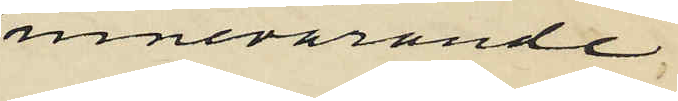innevarande
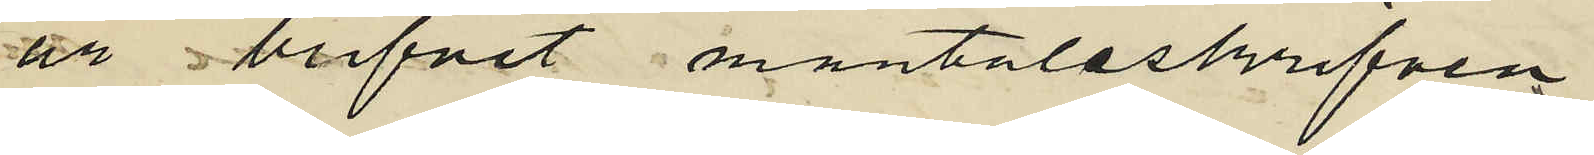år blifvit mantalsskrifven
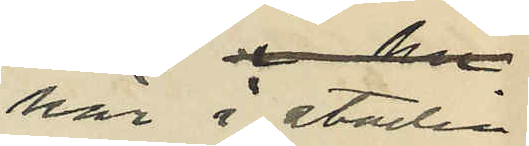här i staden
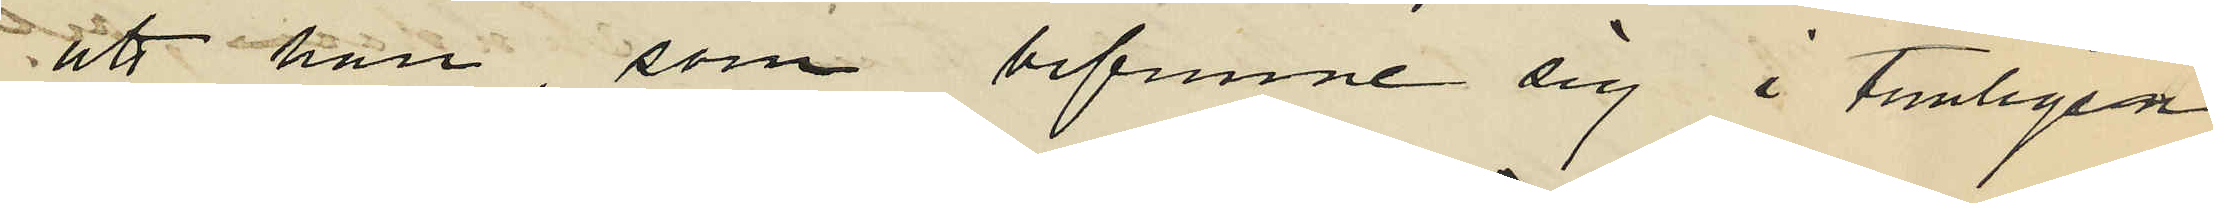att han, som befunne sig i temligen
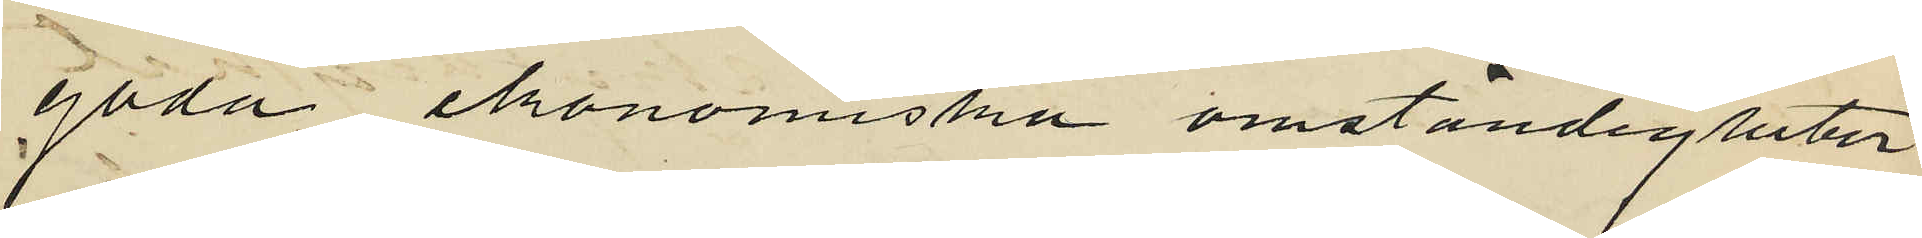goda ekonomiska omständigheter
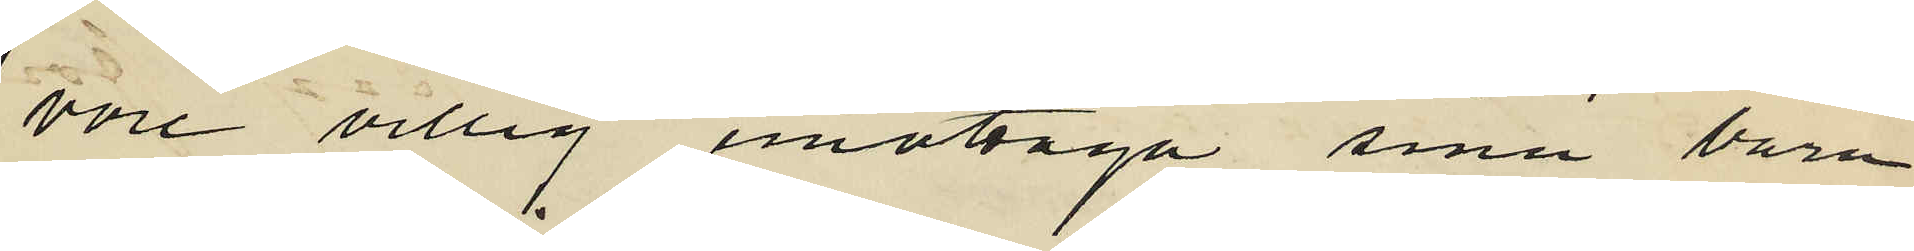vore villig emottaga sina barn
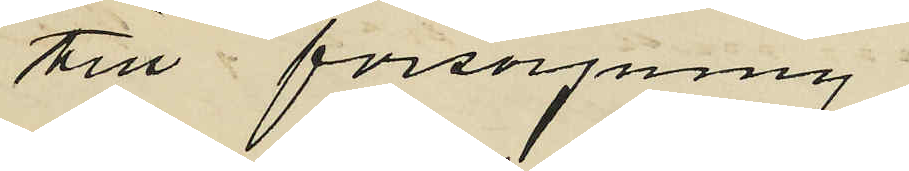till försörjning,
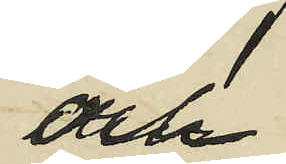och
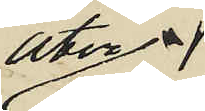åter¬
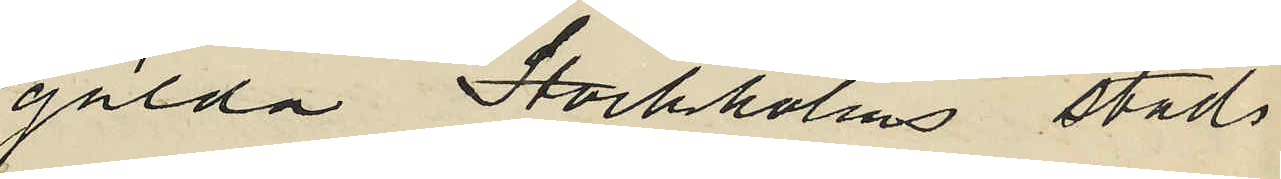gälda Stockholms stads
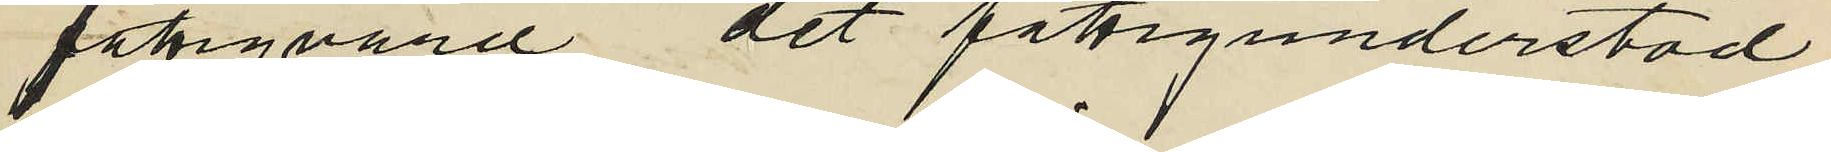fattigvård det fattigunderstöd
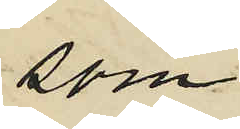som
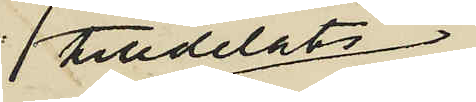tilldelats
